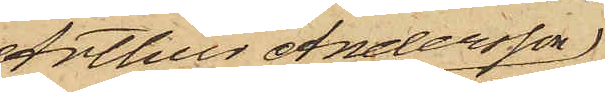Arthur Andersson,
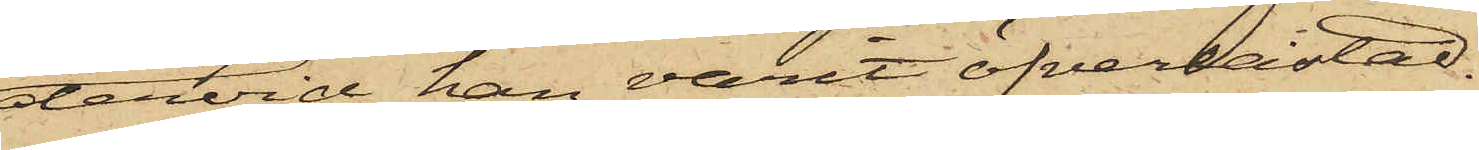dervid han varit öfverlastad,
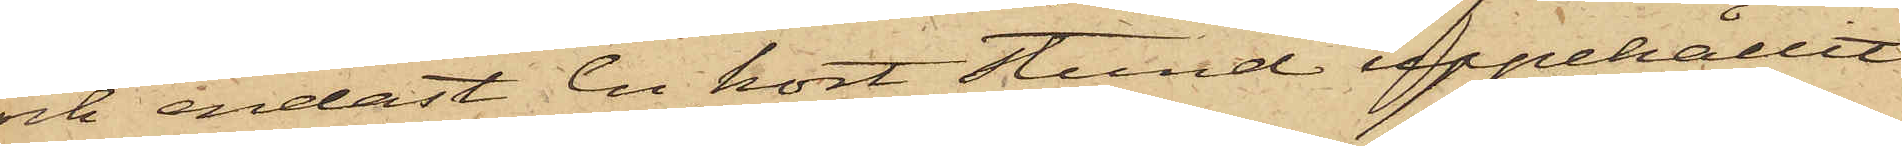och endast en kort stund uppehållit
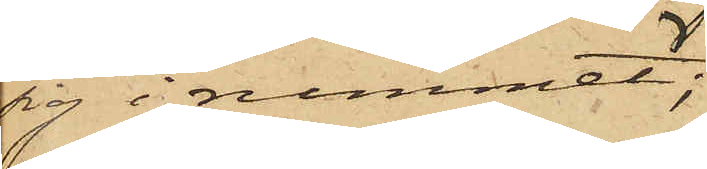sig i rummet;
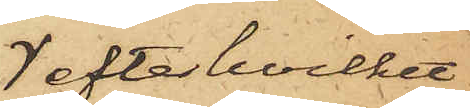efter hvilket
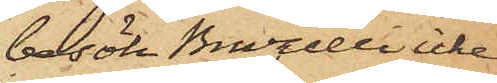besök Bruzelli icke
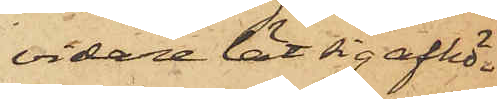vidare lät sig afhö¬
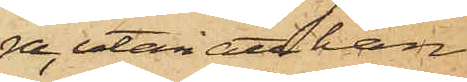ra, utan att han
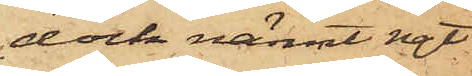dock nämnt ngt
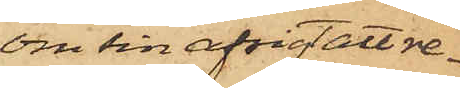om sin afsigt att re¬
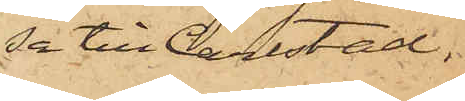sa till Carlstad,
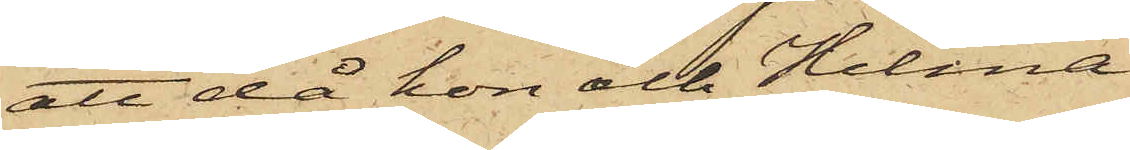att då hon och Hilma
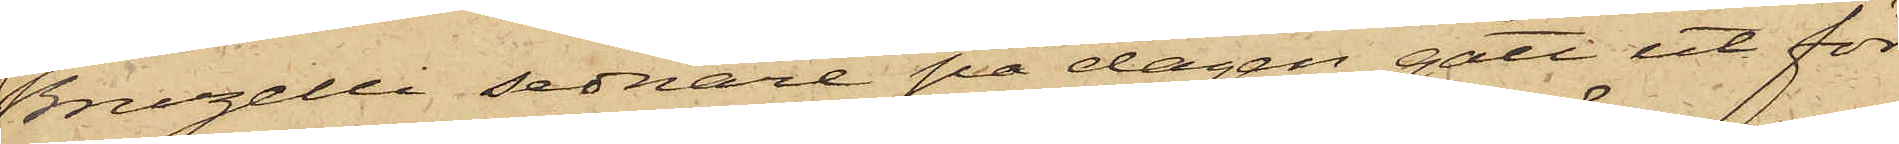Bruzelli sednare på dagen gått ut för
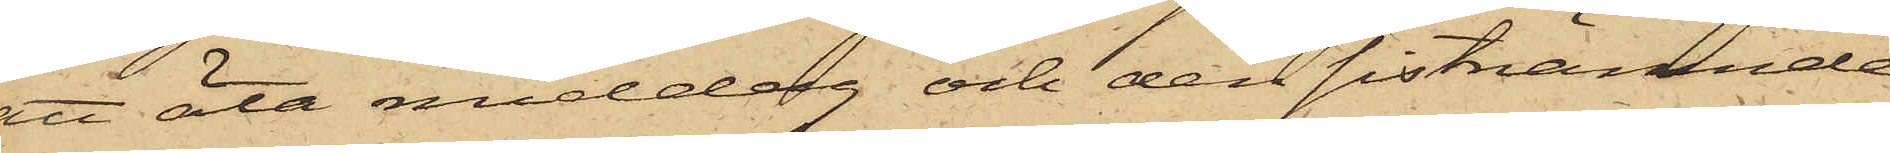ett äta middag och den sistnämnde
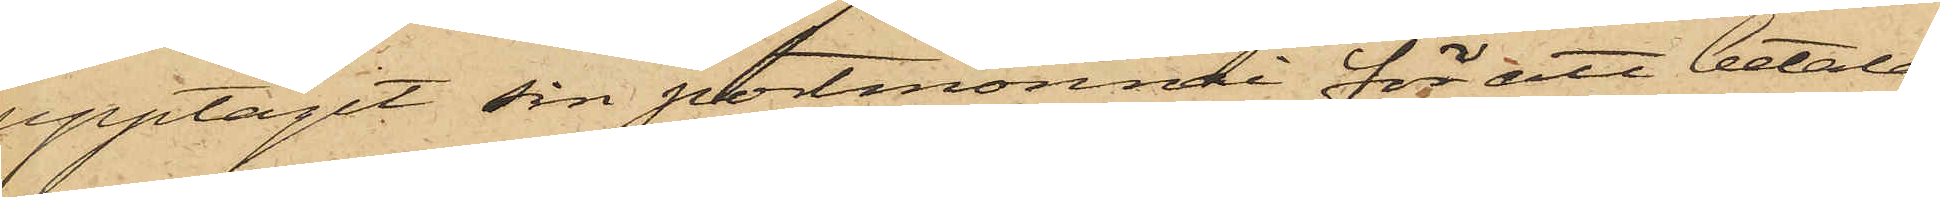upptagit sin portmonnai för att betala,
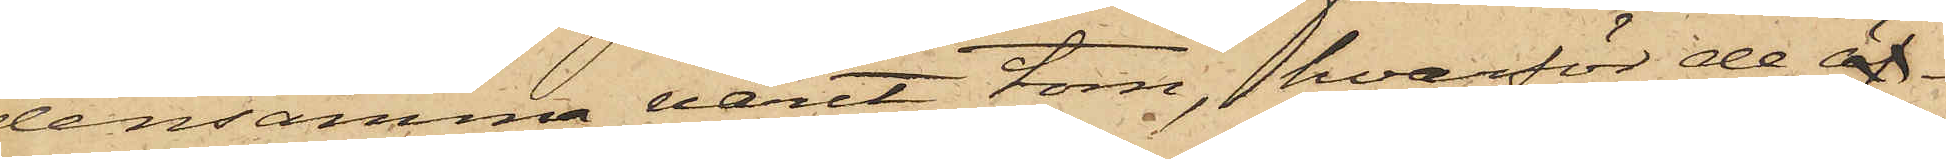densamma varit tom, hvarför de äf¬
